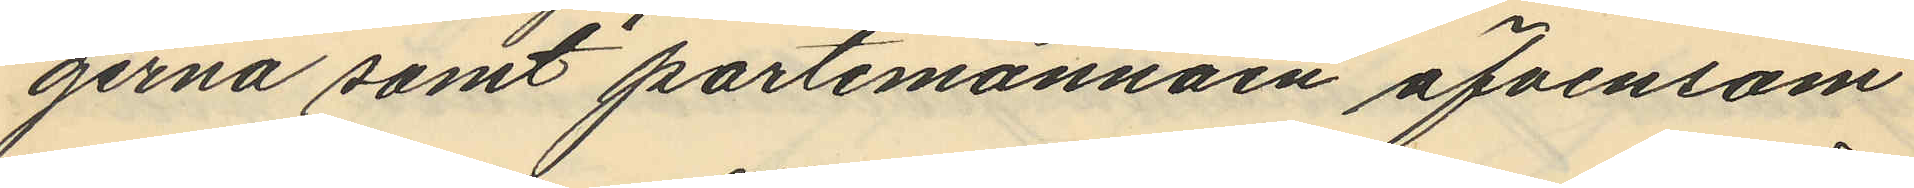gerna samt portemonnäen äfvensom
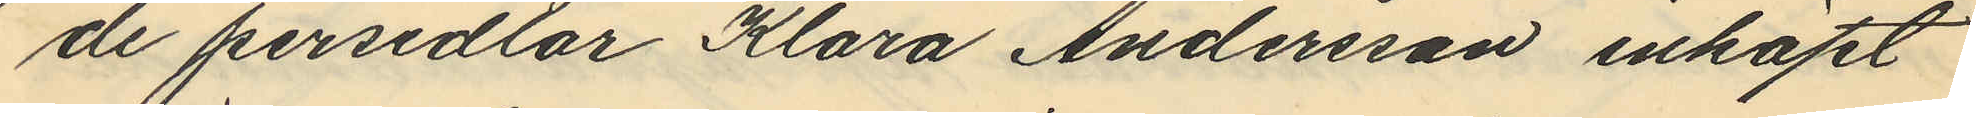de persedlar Klara Andersson inköpt
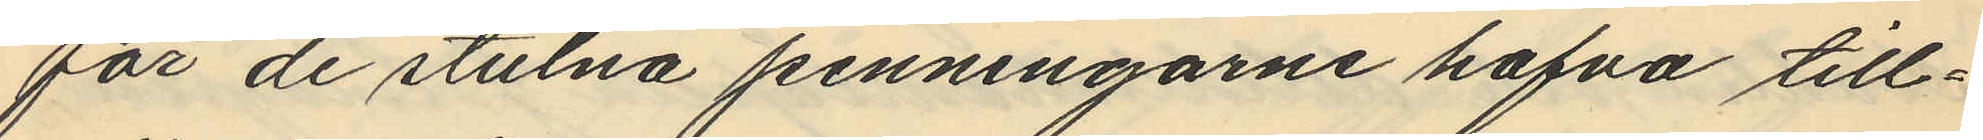för de stulna penningarne hafva till¬
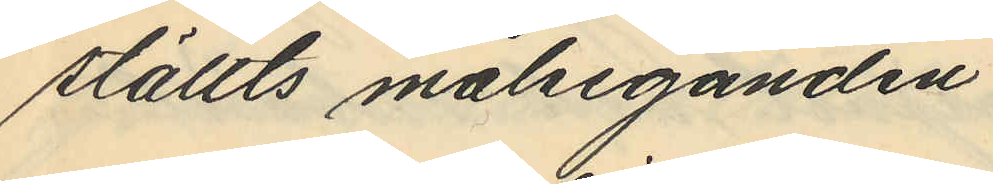ställts målseganden.
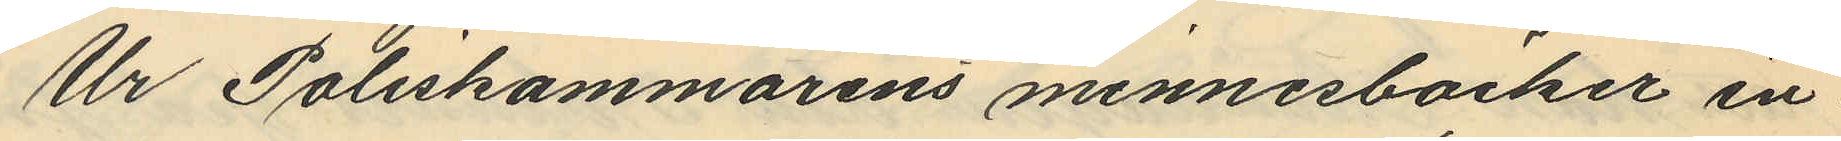Ur Poliskammarens minnesböcker in
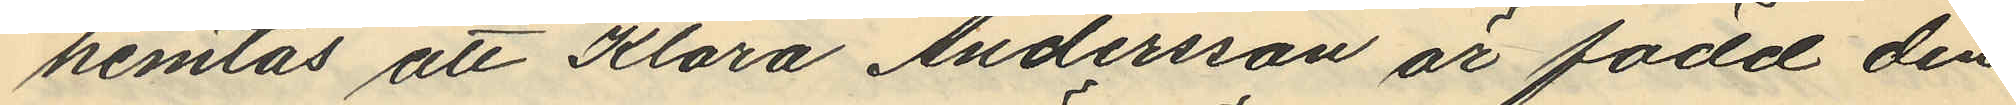hemtas att Klara Andersson är född den
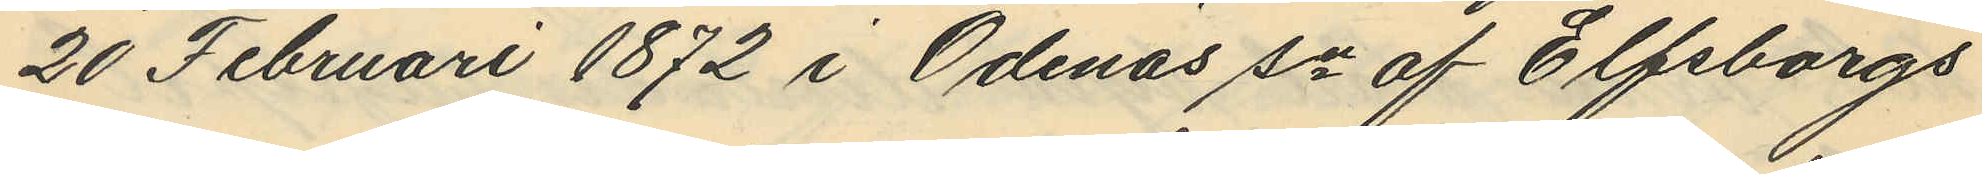20 Februari 1872 i Ödenäs sn af Elfsborgs
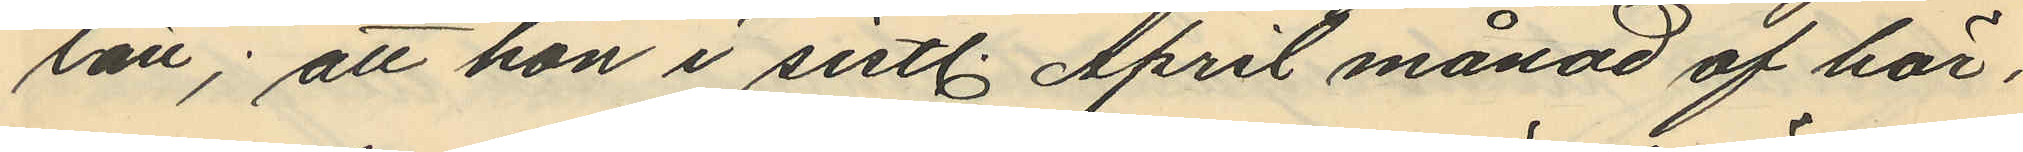län; att hon i sistl. April månad af här¬
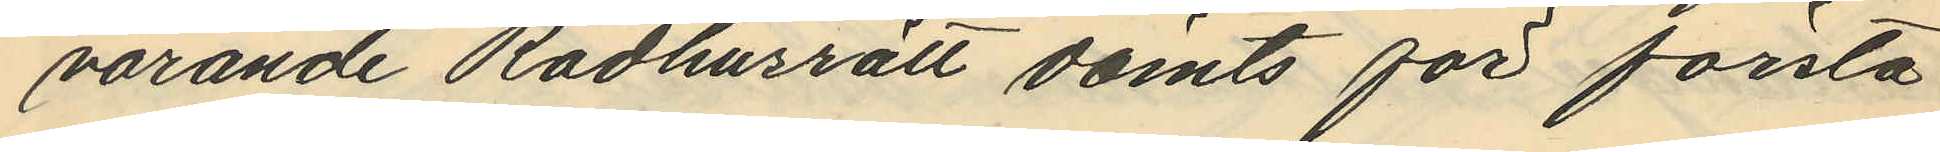varande Rådhusrätt dömts för första
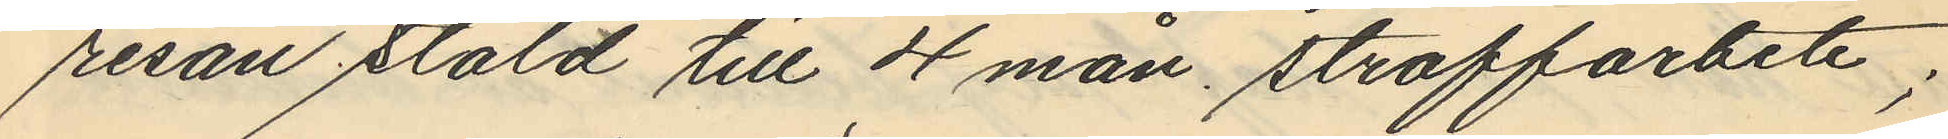resan stöld till 4 mån straffarbete;
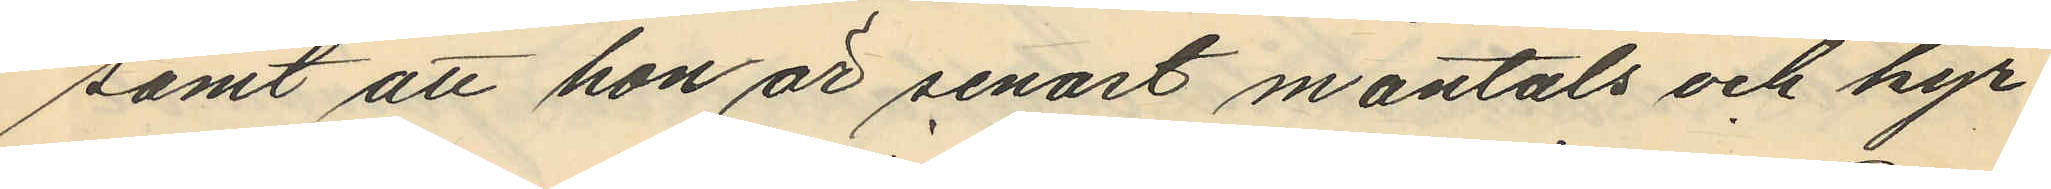samt att hon är senast mantals och kyr¬
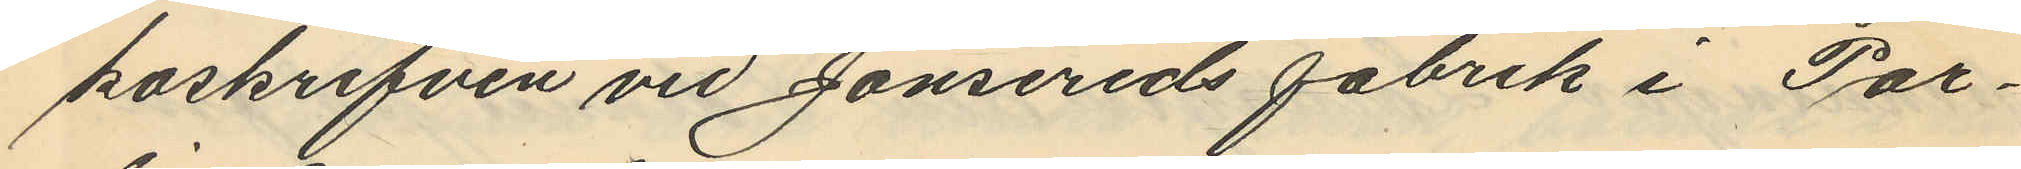koskrifven vid Jonsereds fabrik i Par¬
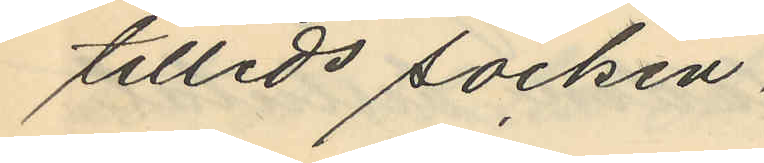tilleds socken.
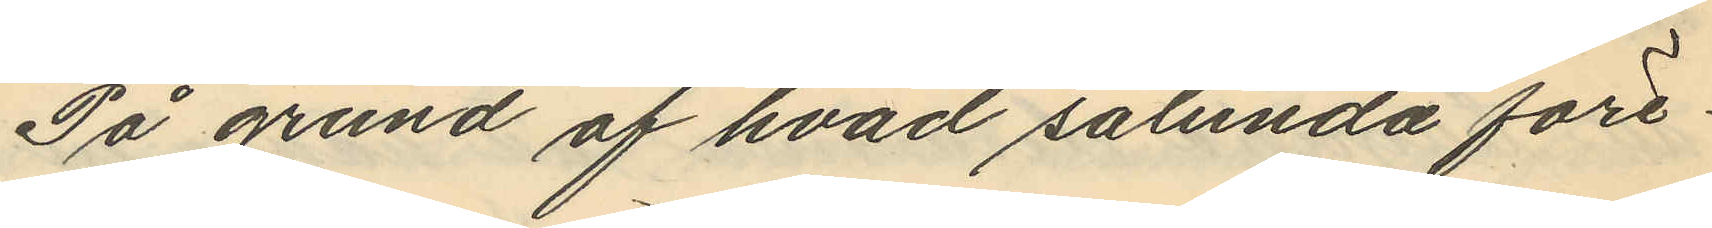På grund af hvad sålunda före¬
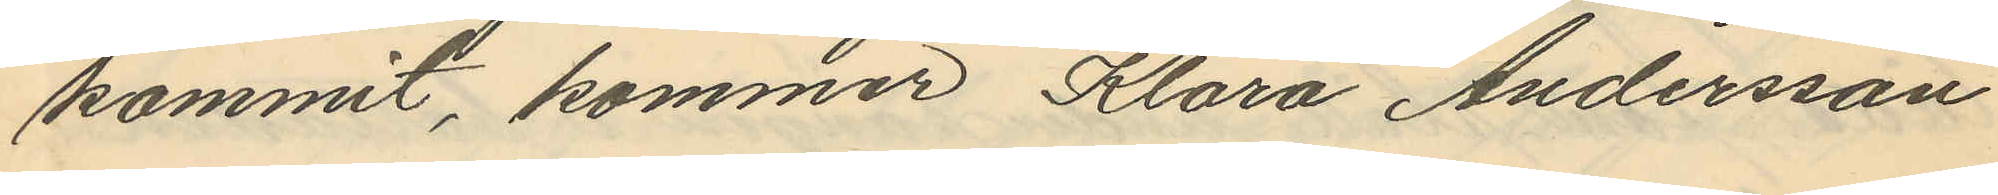kommit, kommer Klara Andersson
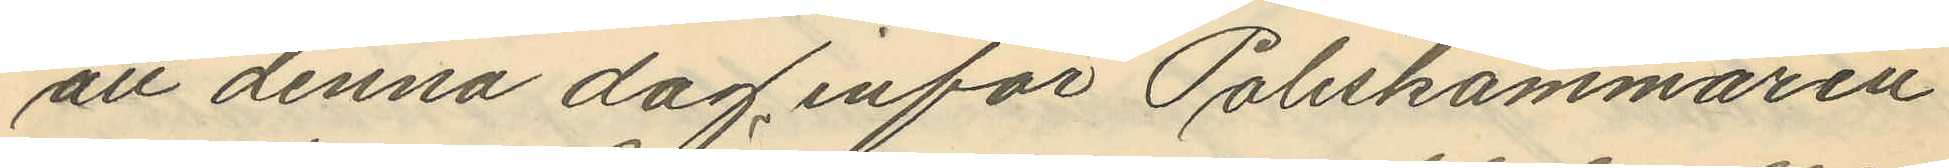att denna dag inför Poliskammaren
